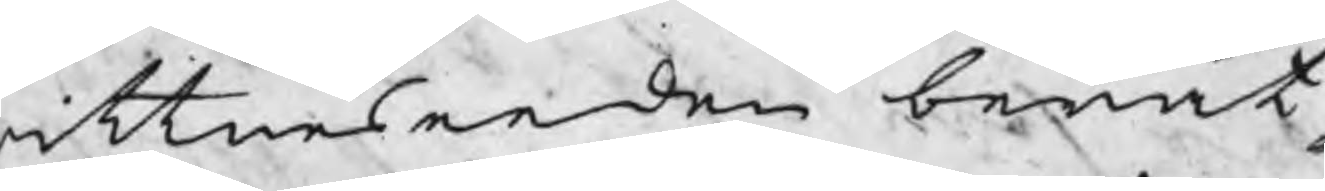ittneseeden berät¬
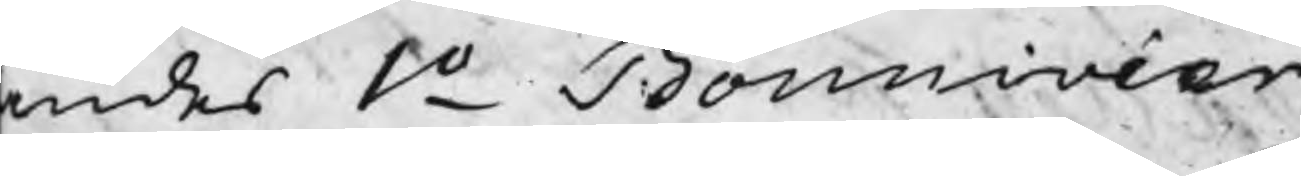ndes 1o Bonnivier
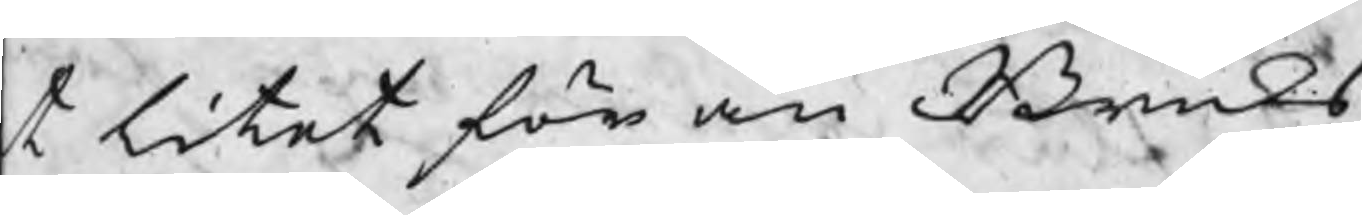t litet för än Bruks
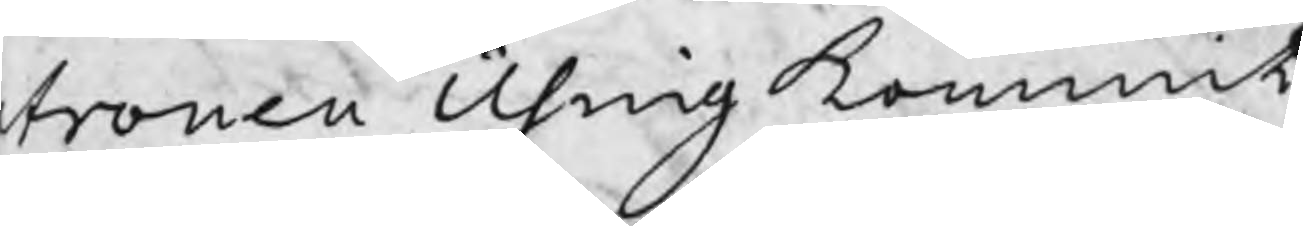tronen Using kommit
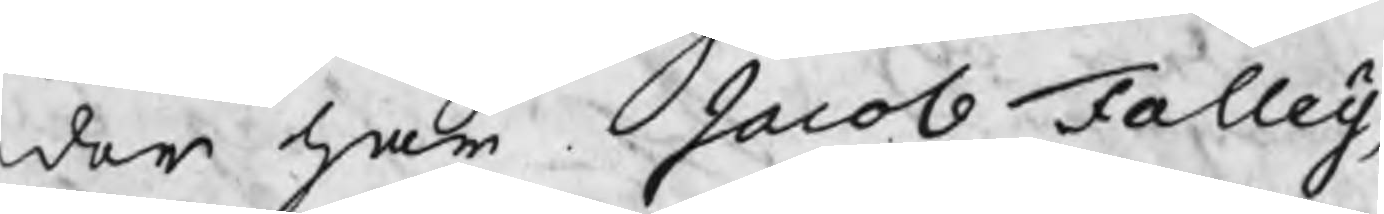der har Jacob Falleij,
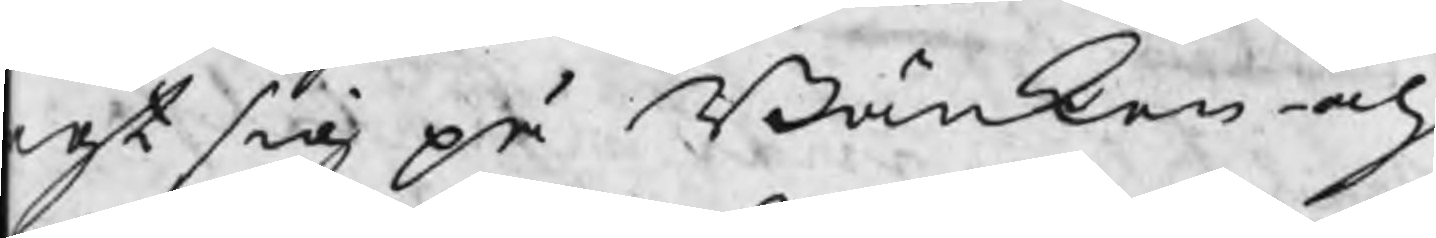est sig på Bänken och 
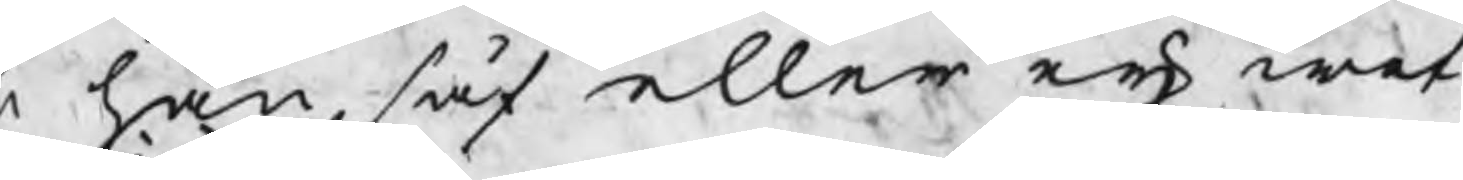r han såf eller eij wet
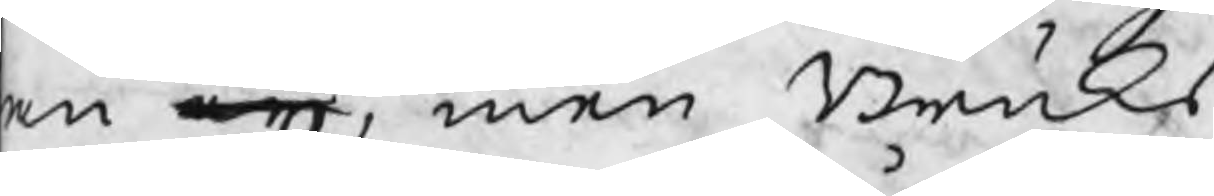an eij, men Bruks
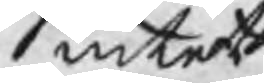intet
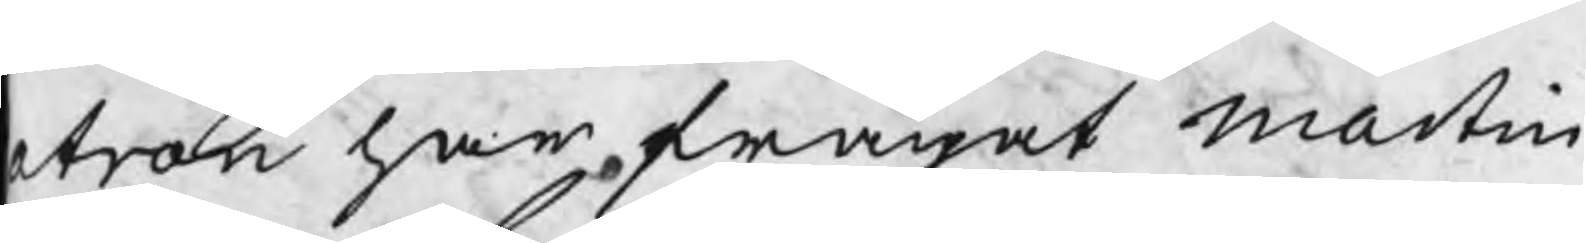atron har frågat Martin
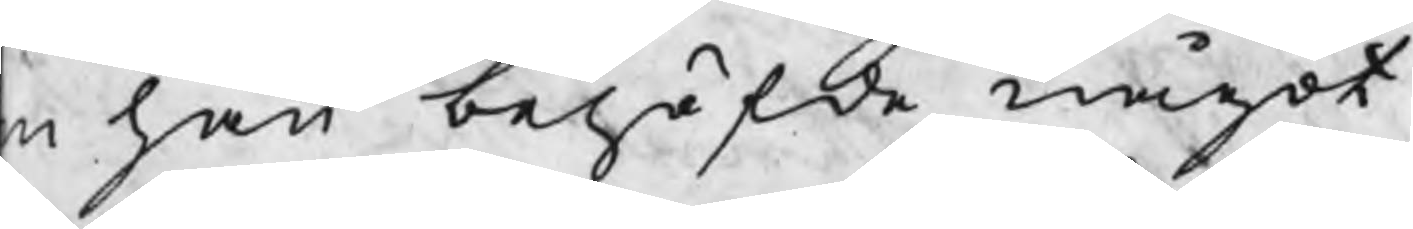m han behöfde något
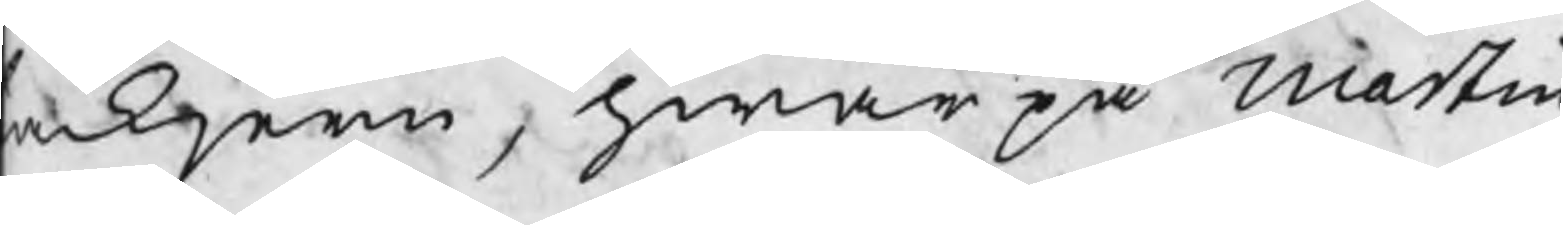ackjern, hwarpå Martin
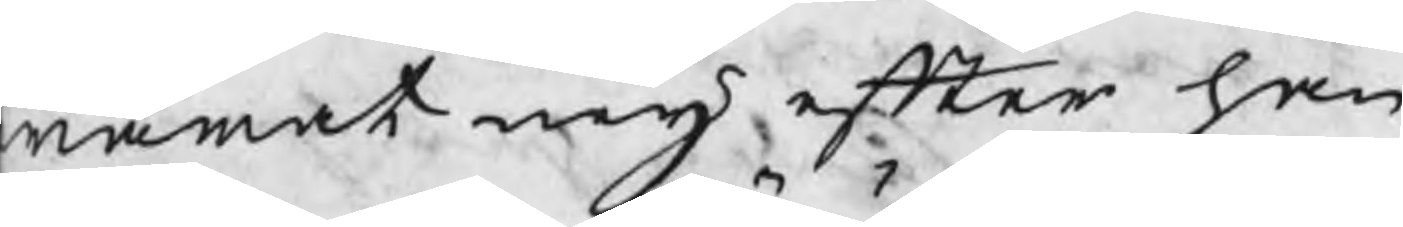warat neij efter han
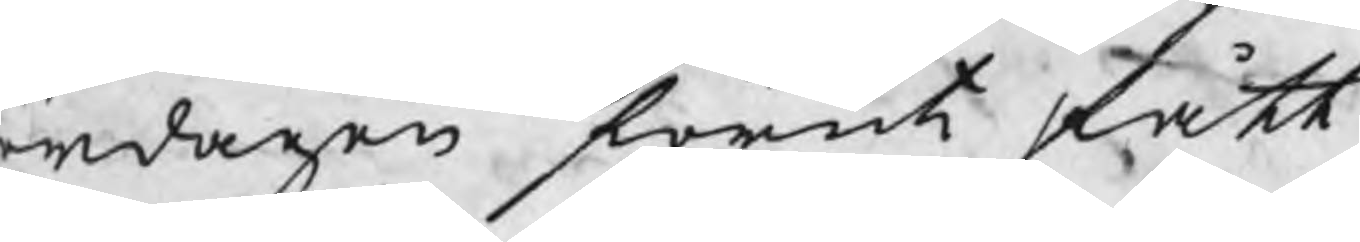ördagen förut fått
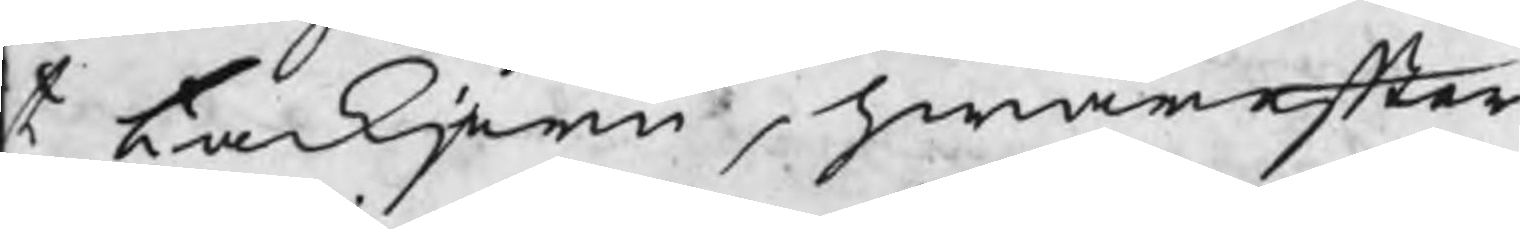t tackjren, hwarefter
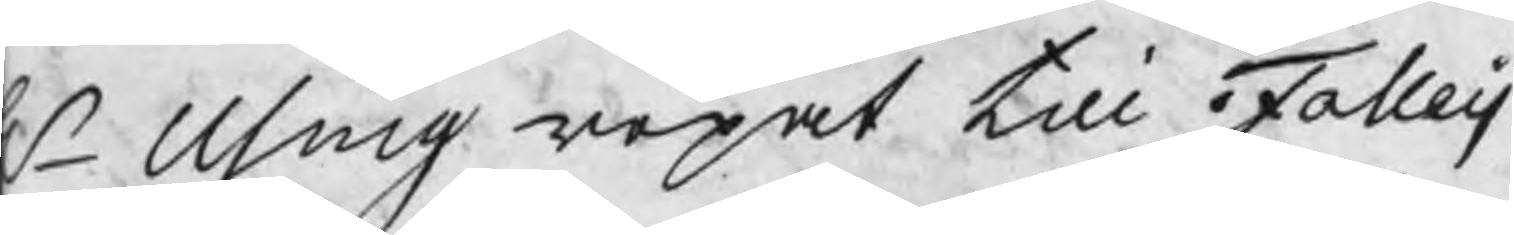Hr Using ropat till Falleij
